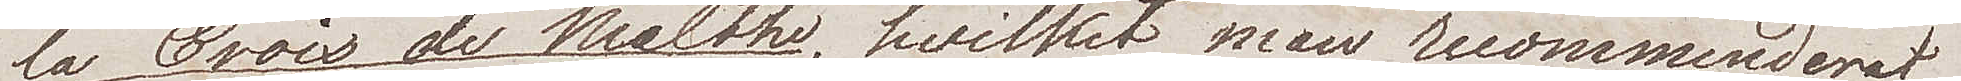la Croix de Malthe, hvilket man recommenderat
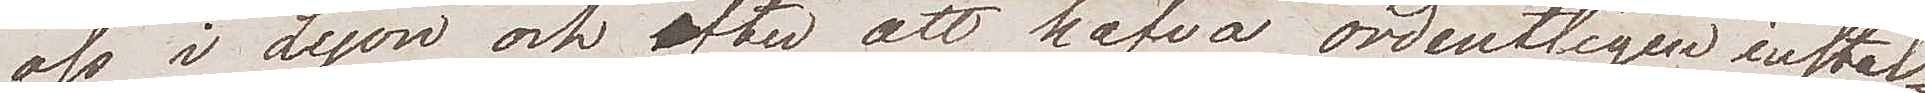oss i Lyon och efter att hafva ordentligen instal¬
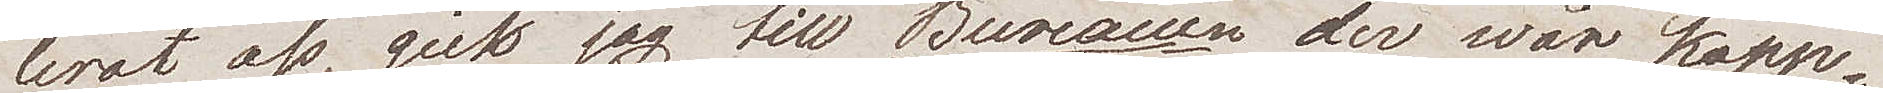lerat oss, gick jag till Bureauen der wår kapp¬
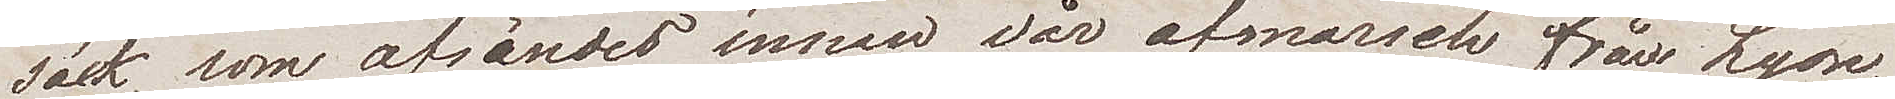säck, som afsändes innan vår afmarsch från Lyon,
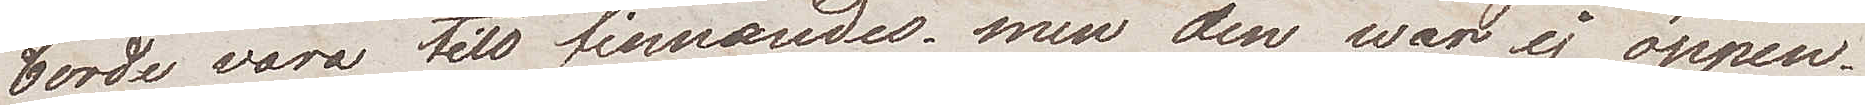borde vara  till finnandes, men den war ej öppen.
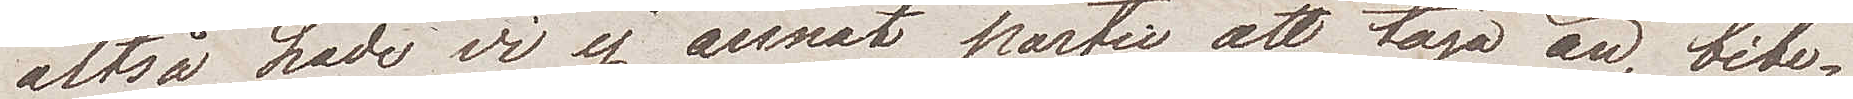Altså hade vi ej annat partie att taga än bibe¬
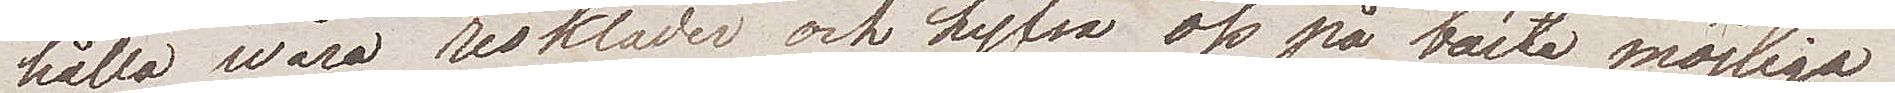hålla wåra reskläder och hyfsa oss på bästa möjliga
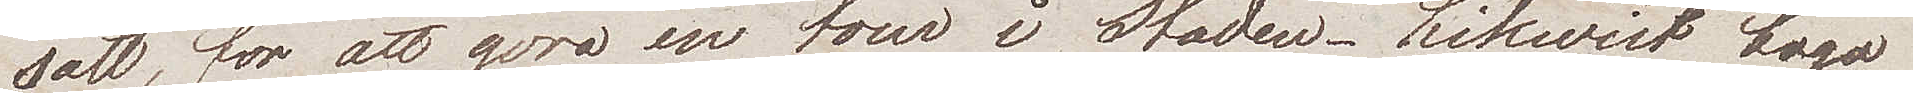sätt, för att göra en tour i Staden. Likwist togo
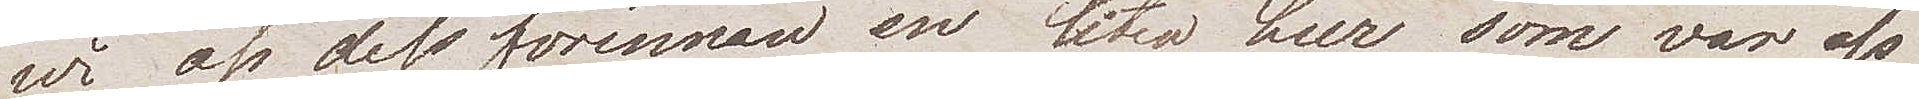wi oss dessförinnan en liten lur som var oss
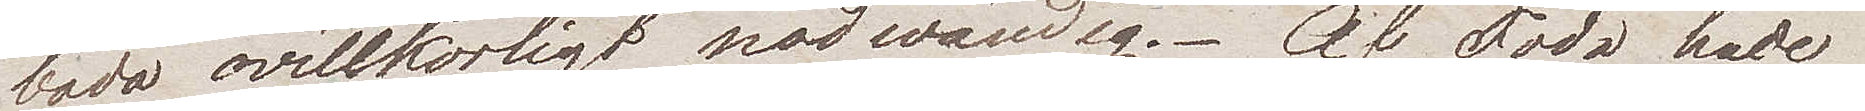båda ovillkorligt nödvändig. Af föda hade
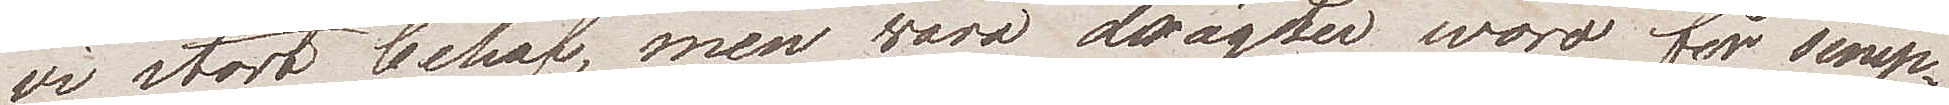vi stort behof, men wåra drägter woro för simp¬
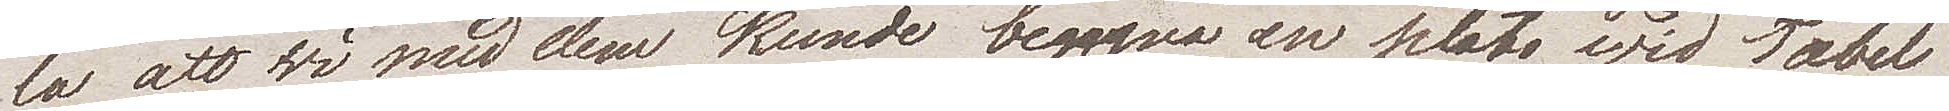la att wi med dem kunde begagna en plats wid Table
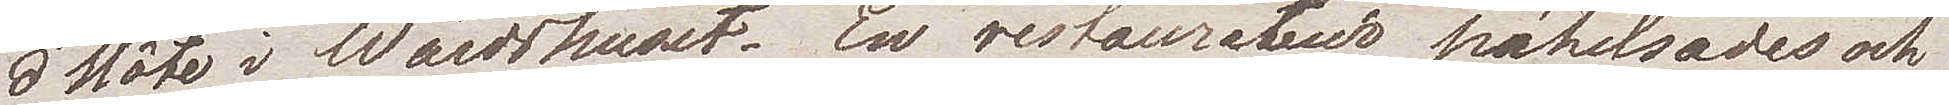d'Hôte i Wärdshuset. En restaurateur påhelsades och
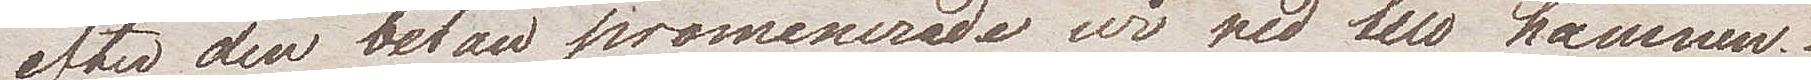efter den betan promenerade wi ned till hamnen.
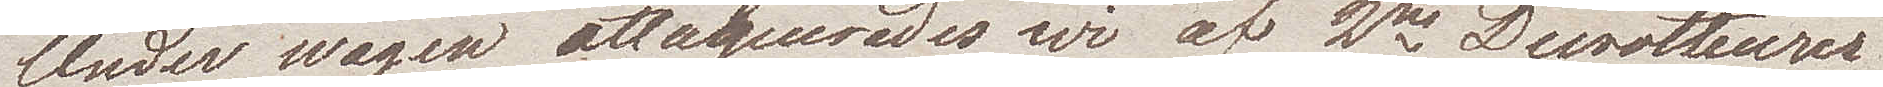Under wägen attaquerades wi af 2ne  Decrotteurer
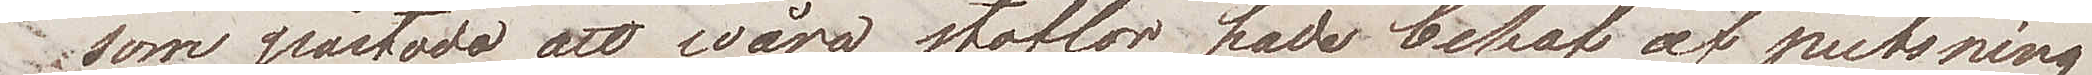som påstodo att wåra stöflar hade behof af putsning
